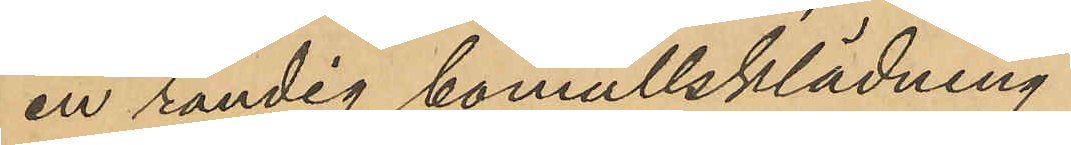en randig bomullsklädning
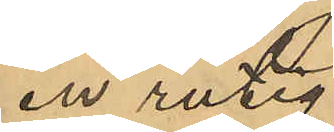en rutig
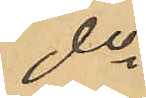do
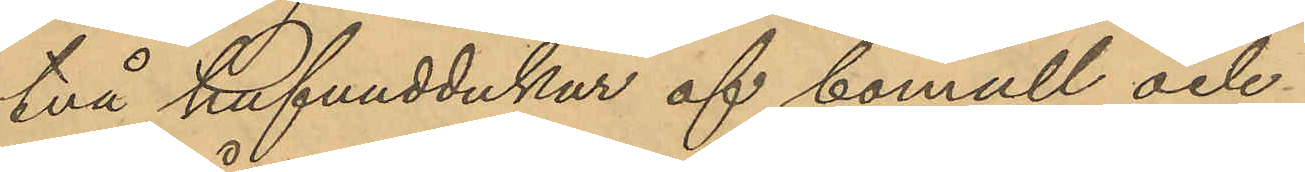två hufvuddukar af bomull och
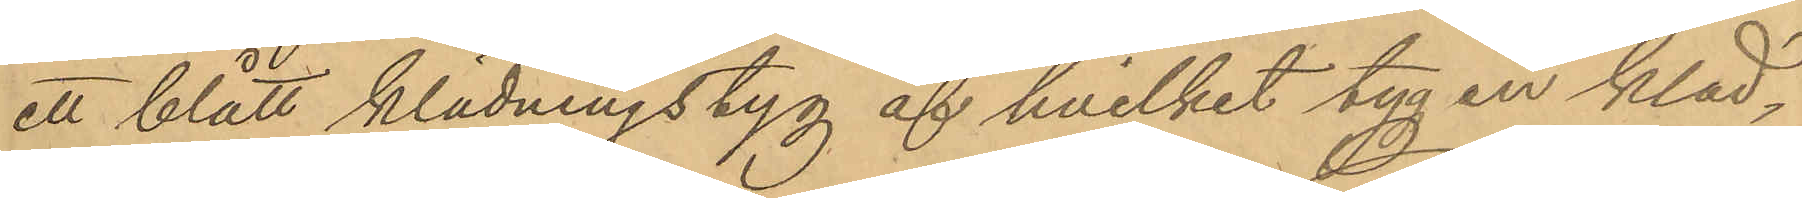ett blått klädningstyg af hvilket tyg en kläd¬
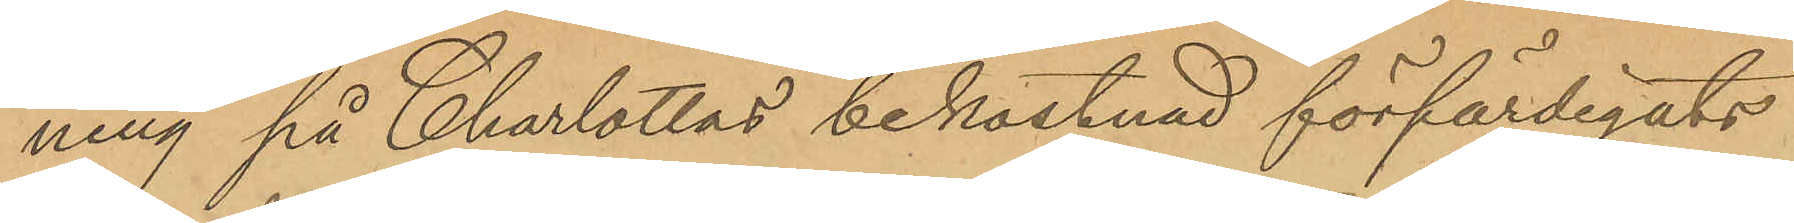ning på Charlottas bekostnad förfärdigats
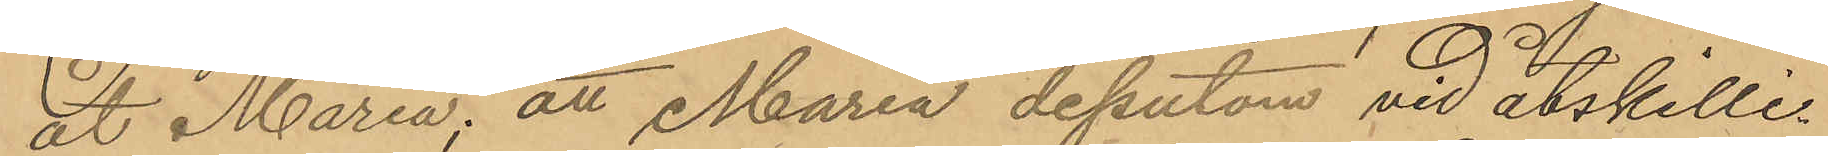åt Maria; att Maria dessutom vid åtskilli¬
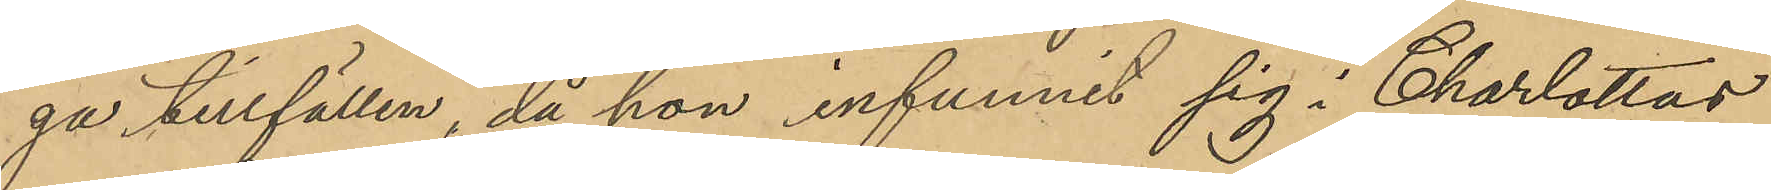ga tillfällen, då hon infunnit sig i Charlottas
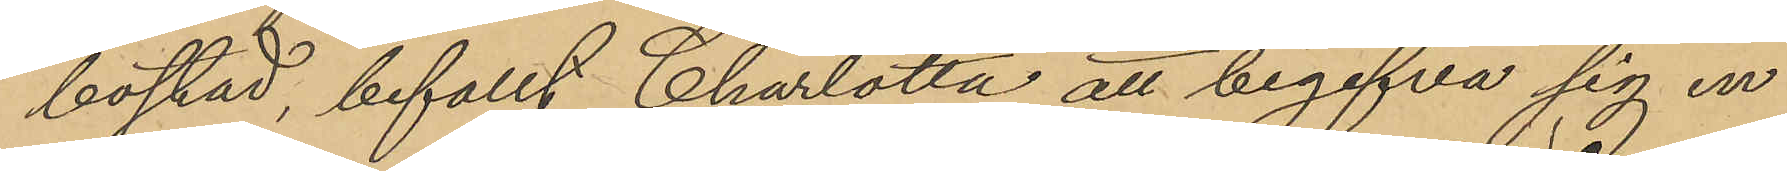bostad, befallt Charlotta att begifva sig in
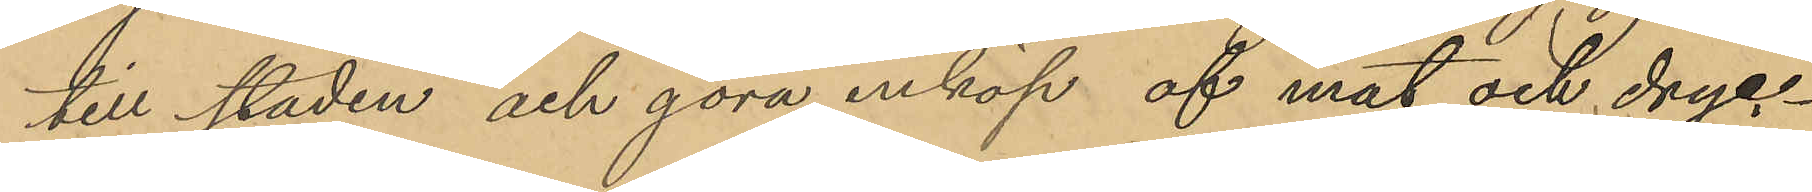till staden och göra inköp af mat och dryc¬
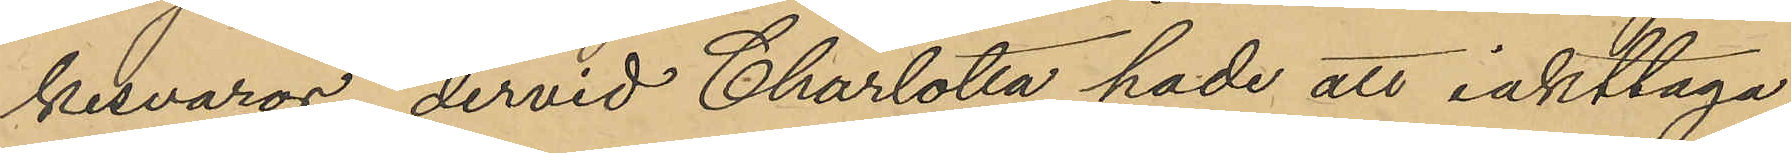kesvaror, dervid Charlotta hade att iakttaga
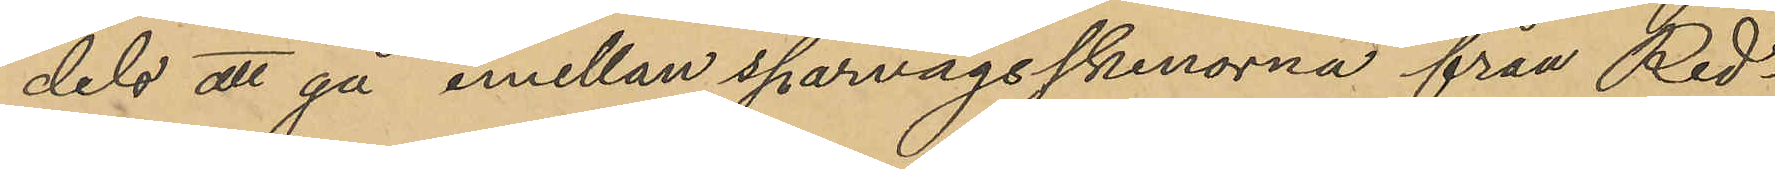dels att gå emellan sparvägsskenorna från Red¬
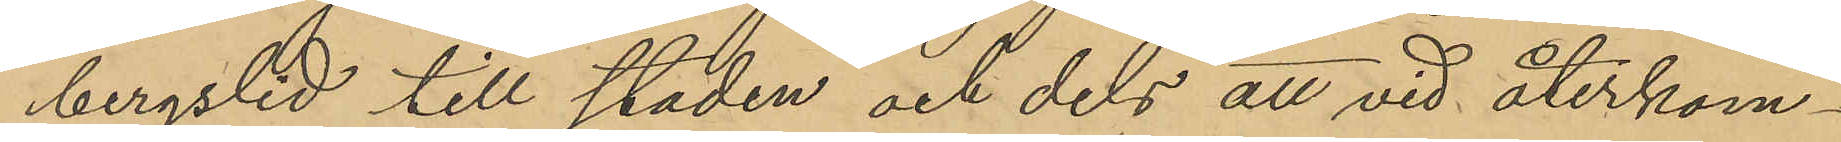bergslid till staden och dels att vid återkom¬
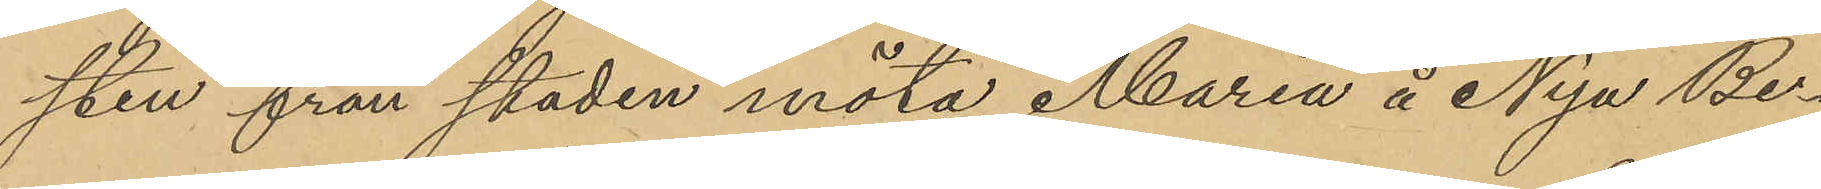sten från staden möta Maria å Nya Be¬
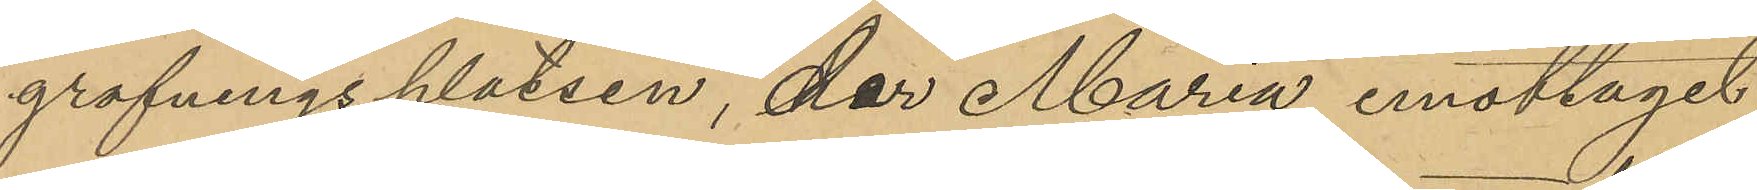grafningsplatsen, der Maria emottagit
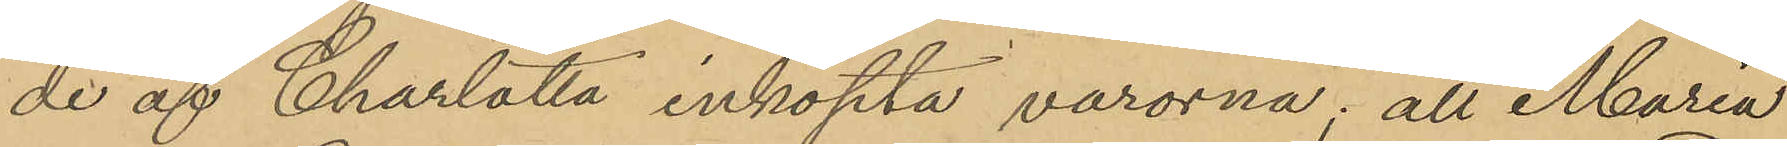de af Charlotta inköpta varorna; att Maria
